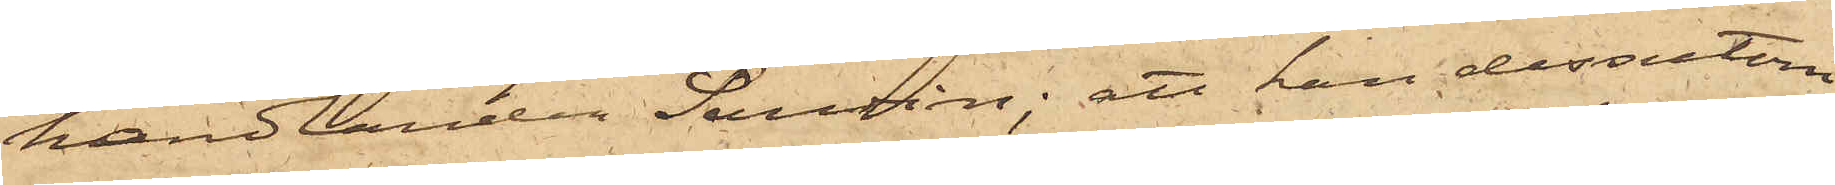handlanden Sandin: att han dessutom
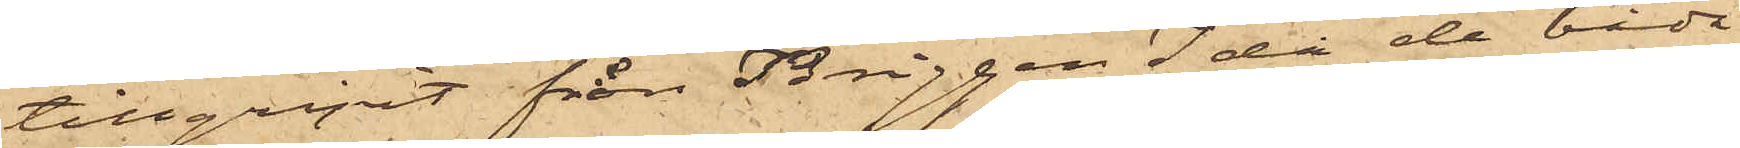tillgripit från Briggen Ida de båda
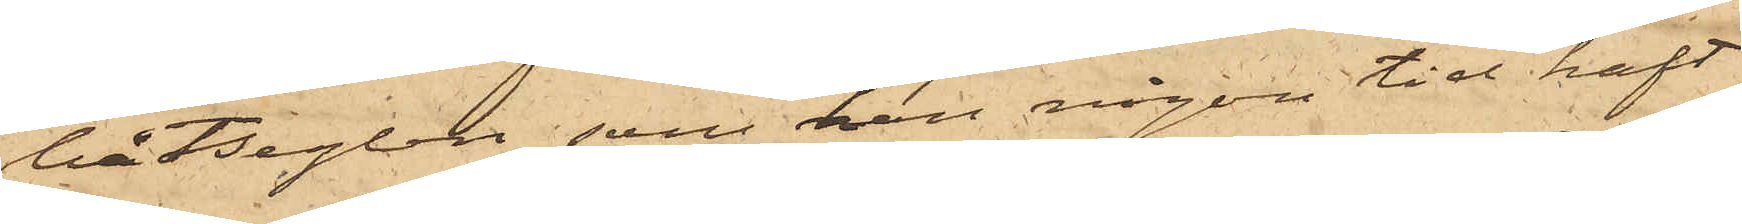båtseglen, som han någon tid haft
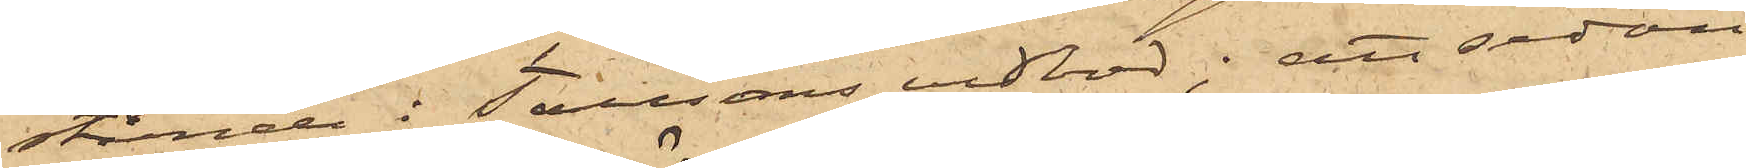stående i Taussons vedbod; att sedan
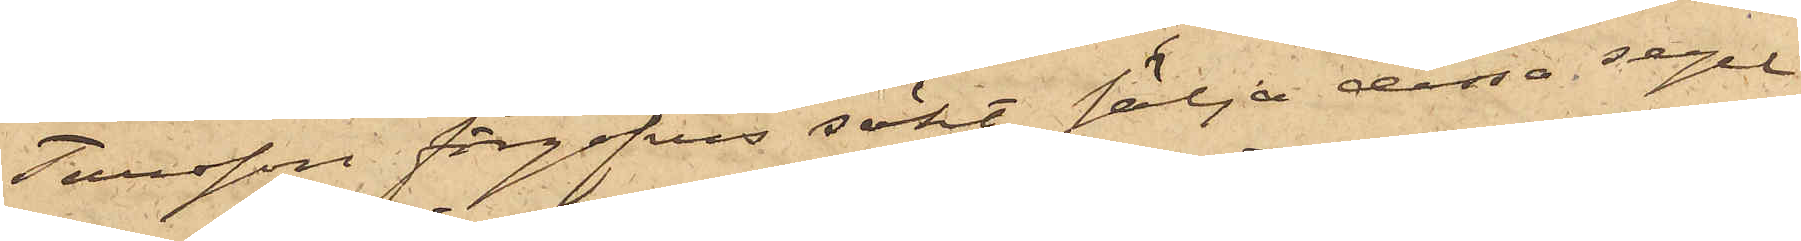Tausson förgäfves sökt sälja dessa segel
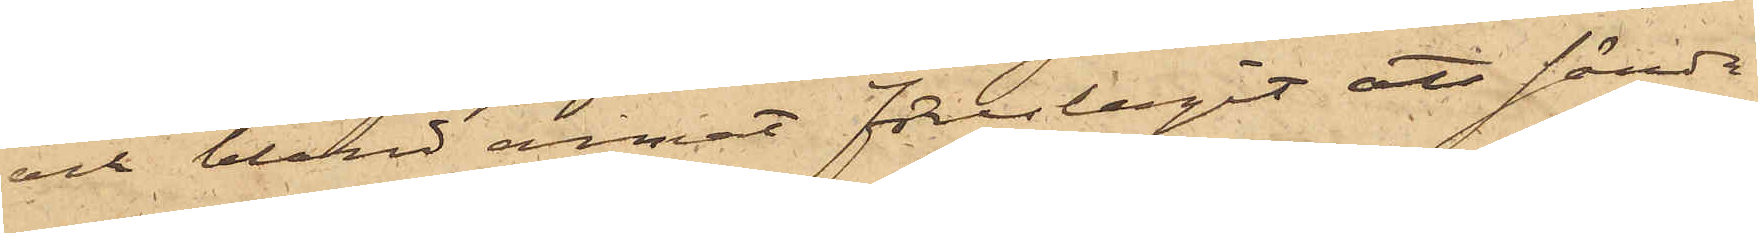och bland annat föreslagit att sända
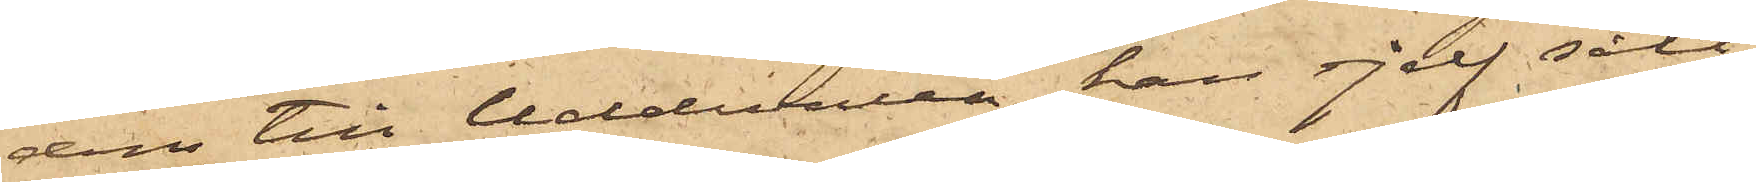dem till Uddevalla, han sjelf sålt
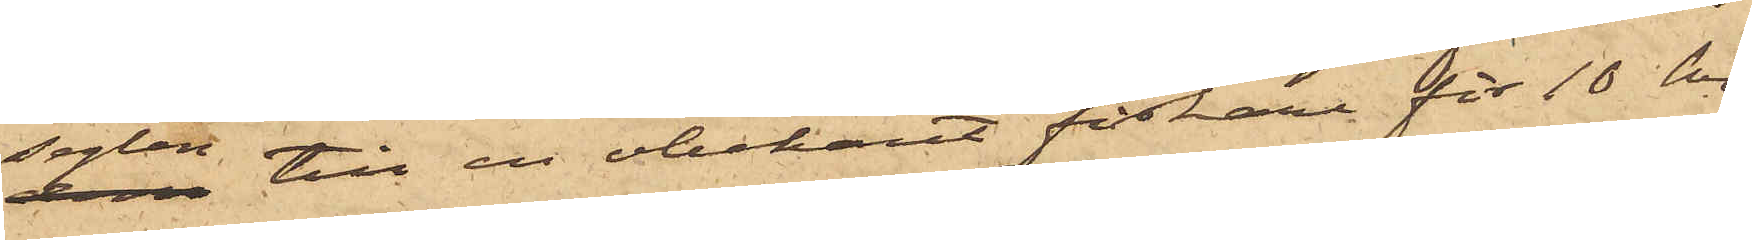seglen till en obekant fiskare för 10 kr;
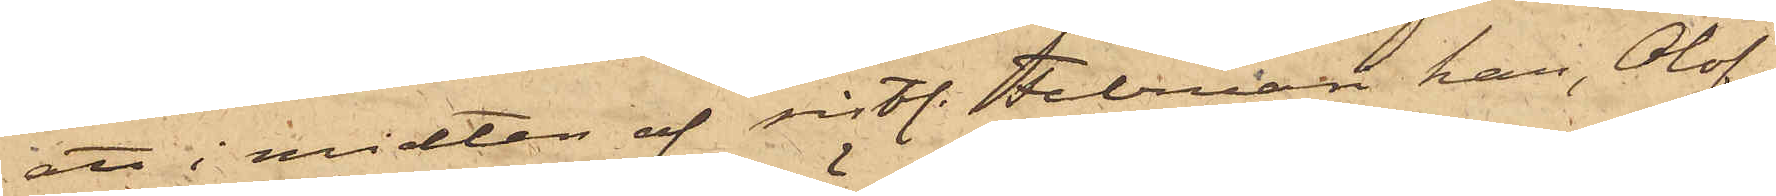att i midten af sistl. Februari han, Olof
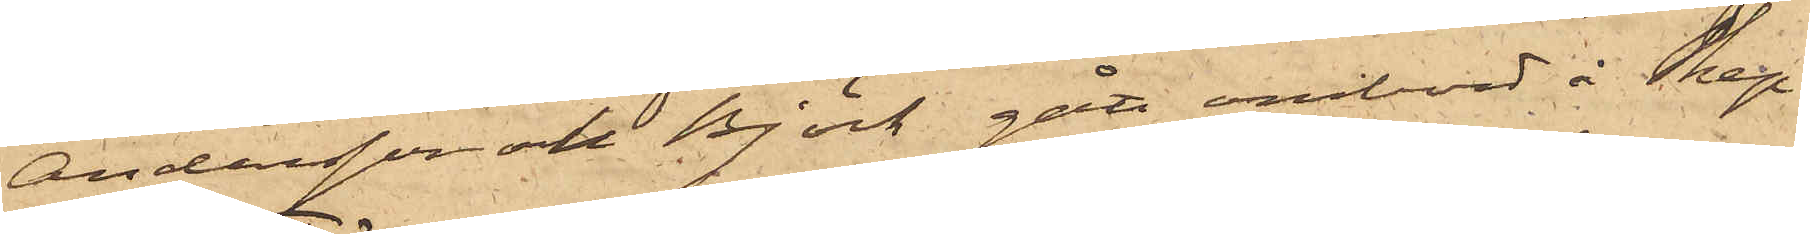Andersson och Björk gått ombord å Skep¬
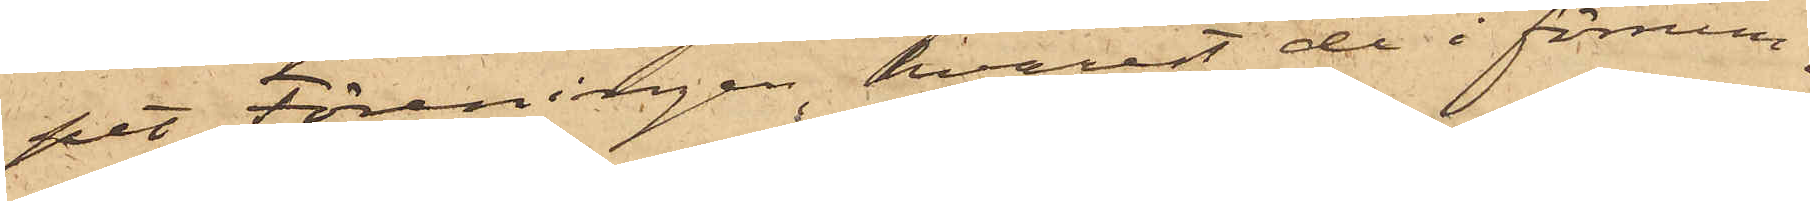pet Föreningen, hvarest de i förrum¬
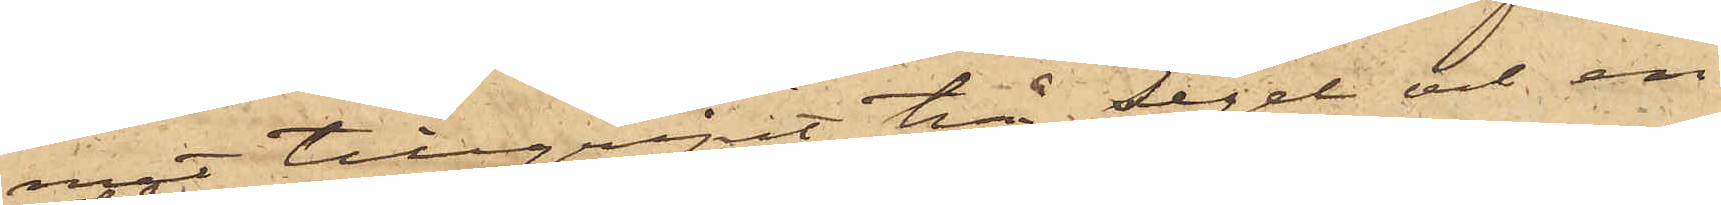met tillgripit två segel och en
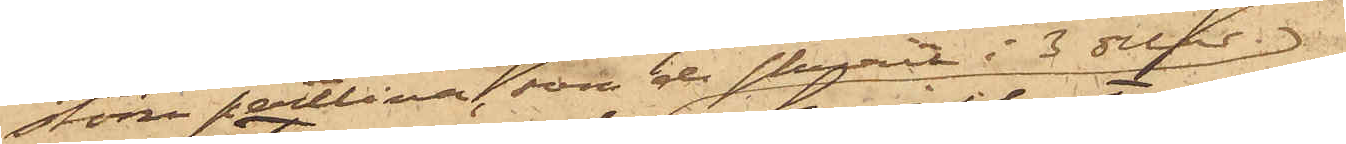större pertlina, som de skurit i 3 delar,
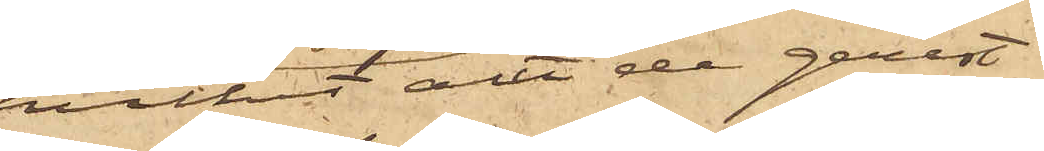hvilka alla de genast
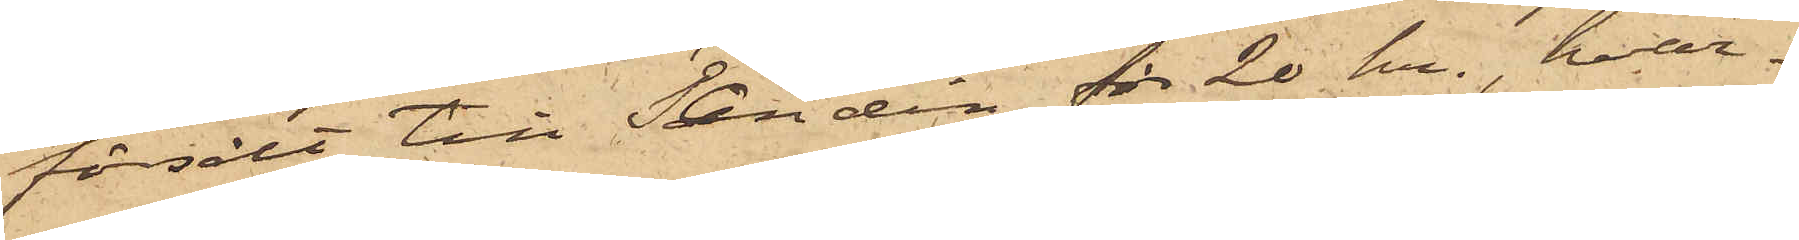försålt till Sandin för 20 kr, hvar¬
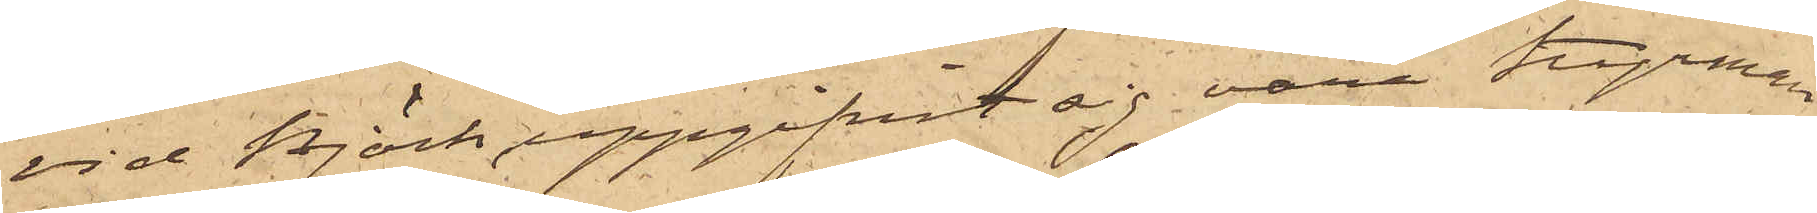vid Björk uppgifvit sig vara styrman
